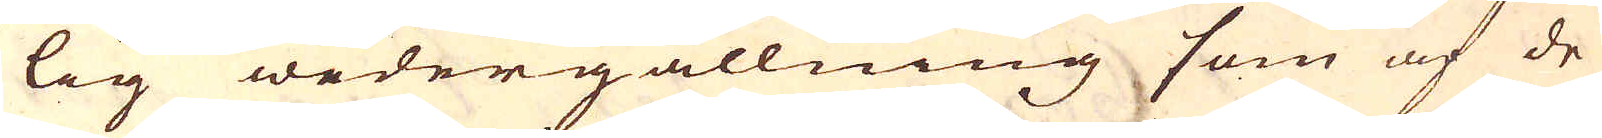lig wedergällning som af de
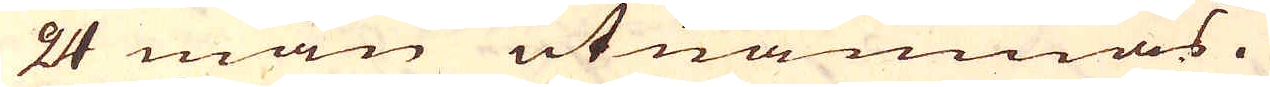24 män utnämnas.
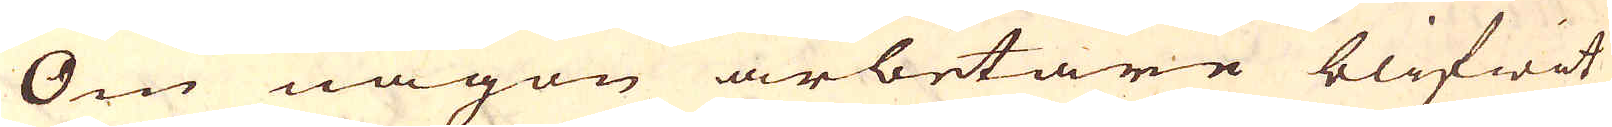Om någon arbetare blifwit
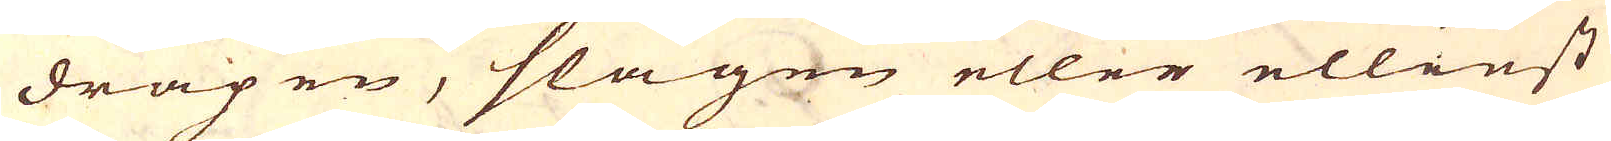dräpen, slagen eller elliest
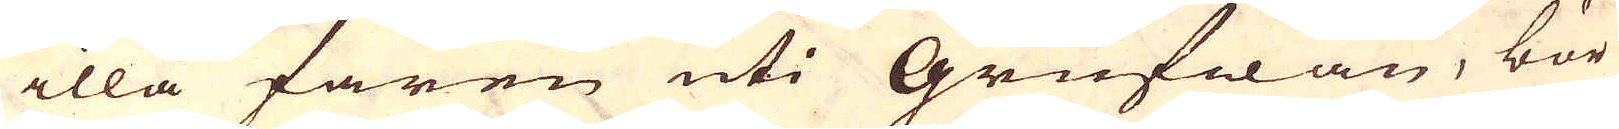illa faren uti Grufwan, bör
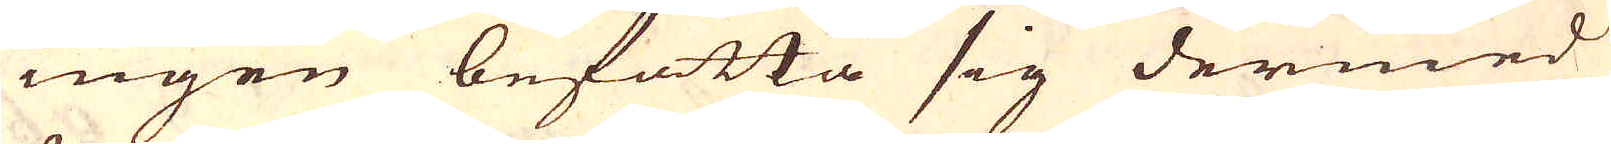ingen befatta sig dermed
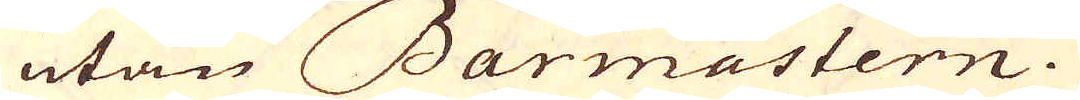utan Barmastern.
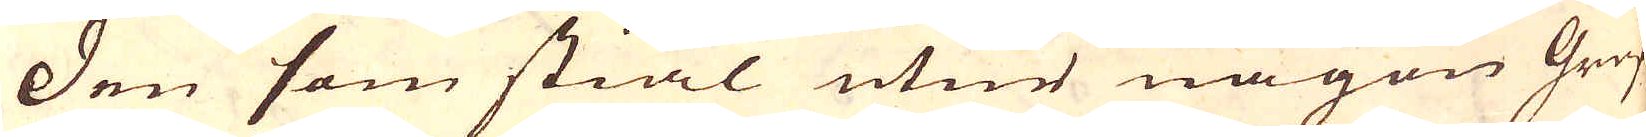Den som stiäl utur någon Gruf-
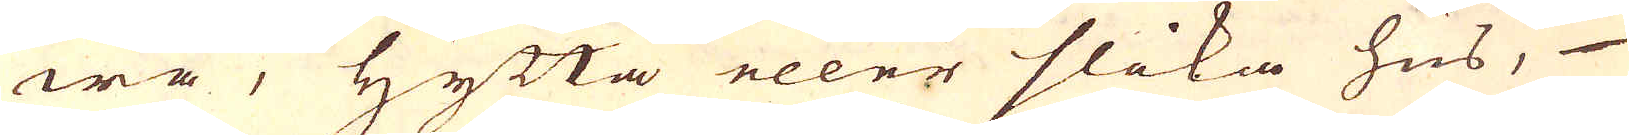wa, Hytta eller slika hus,
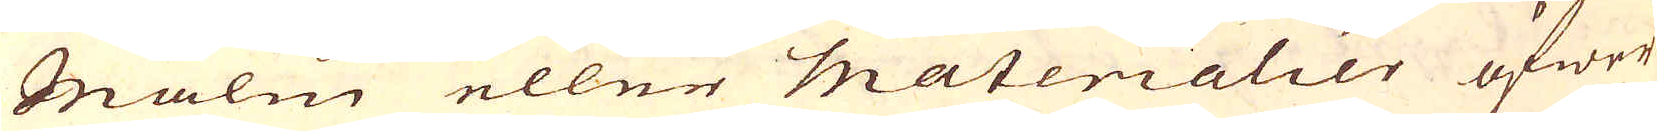Malm eller Materialier öfwer
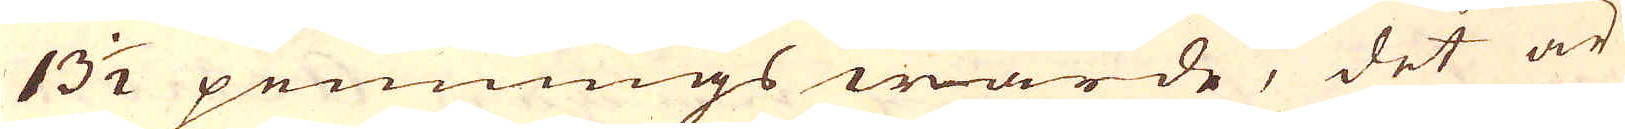13 1/2 pennings wärde, det är
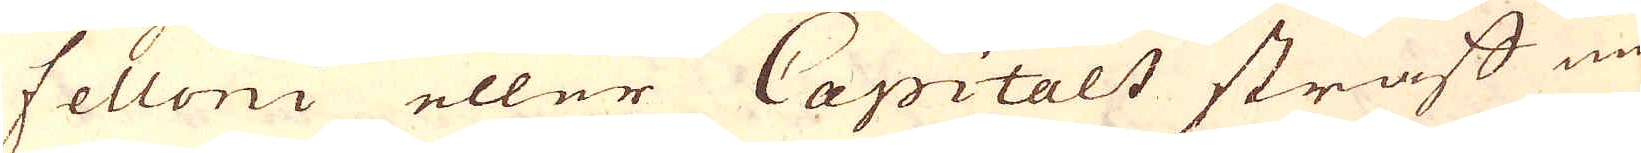felloni eller Capitalt straff un-
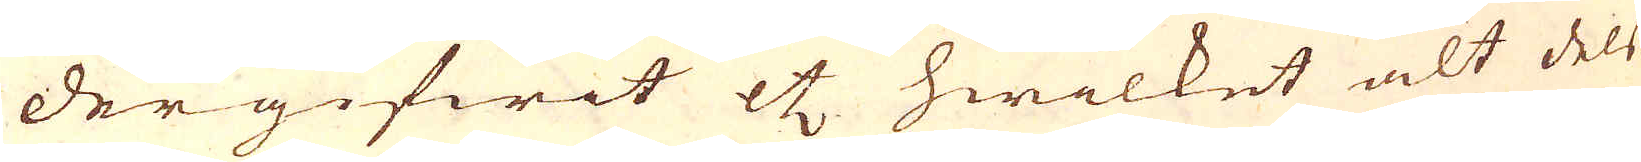dergifwit etc hwilket alt dels
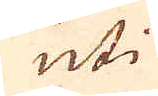uti
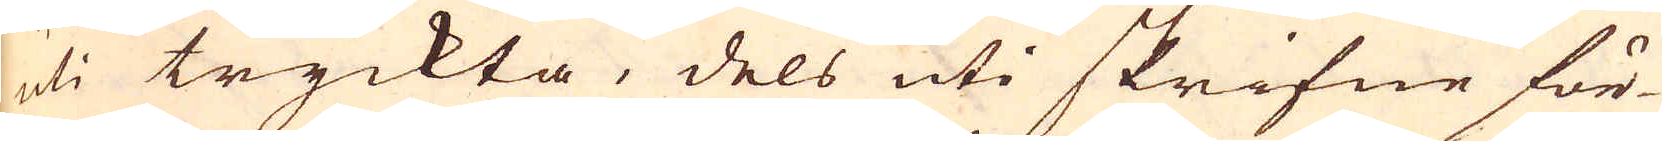uti tryckta, dels uti skrifne för-
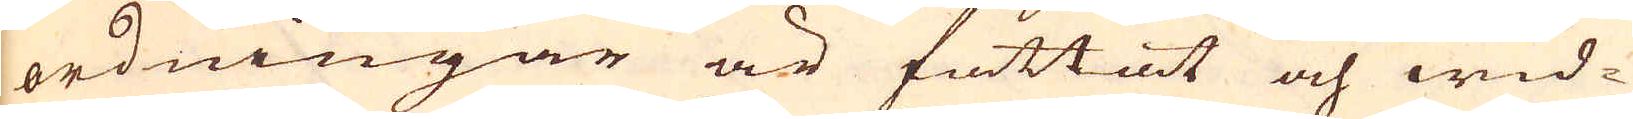ordningar är fattat och wid-
